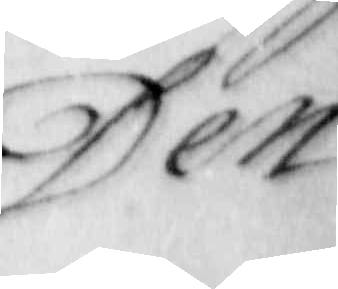Den
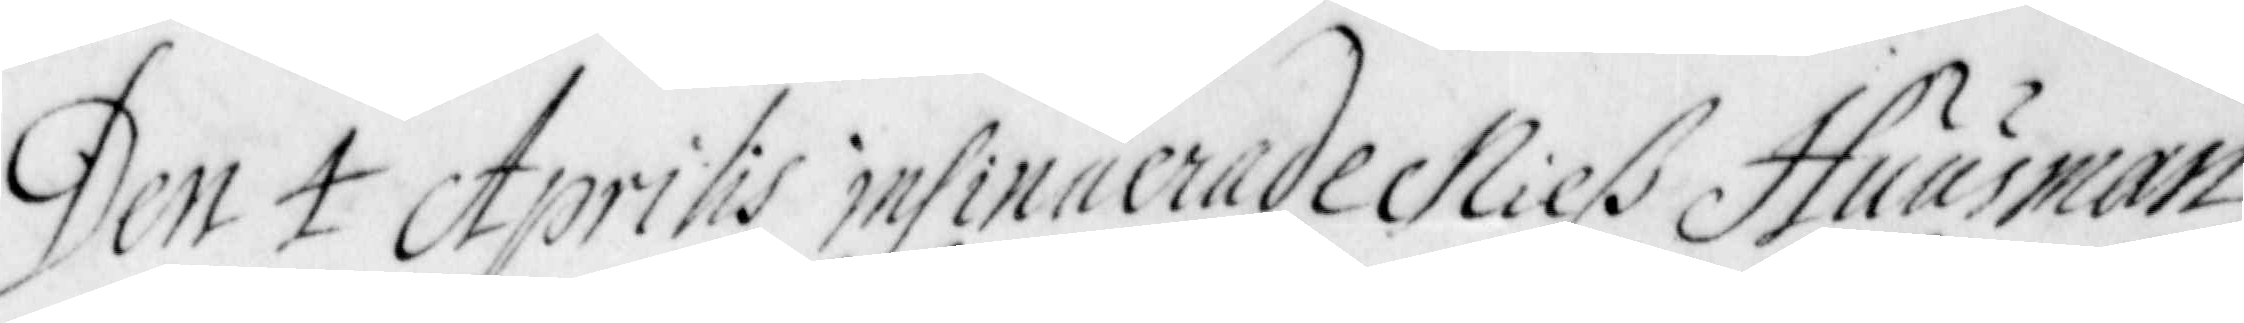Den 4 Aprilis insinuerade Nilß Huusman
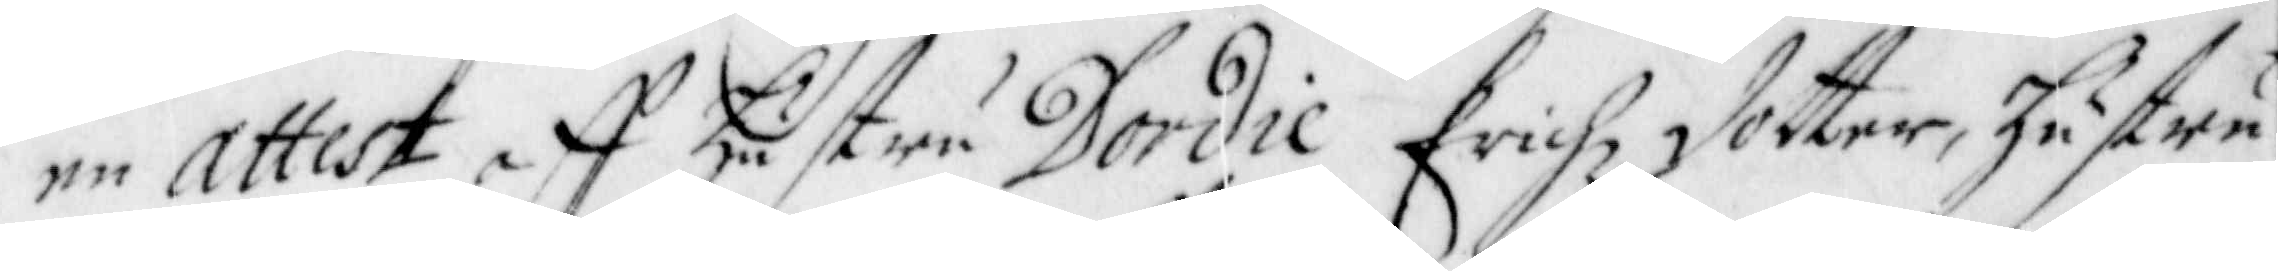en attest aff hustru Dordie Erichz dotter, hustru
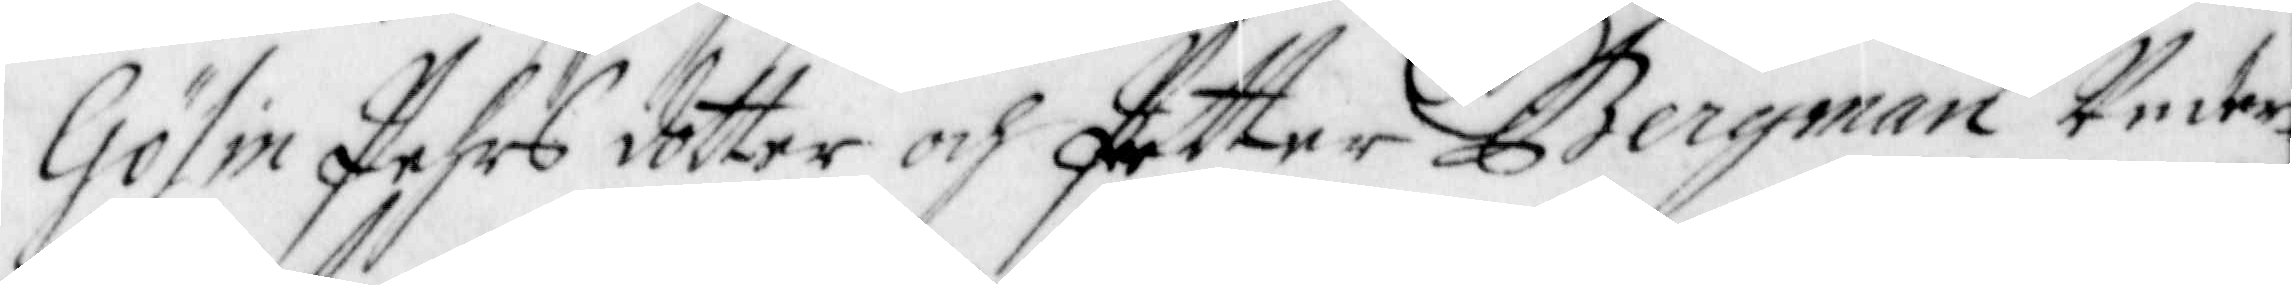Gölin Pehrs dotter och Petter Bergman Under¬
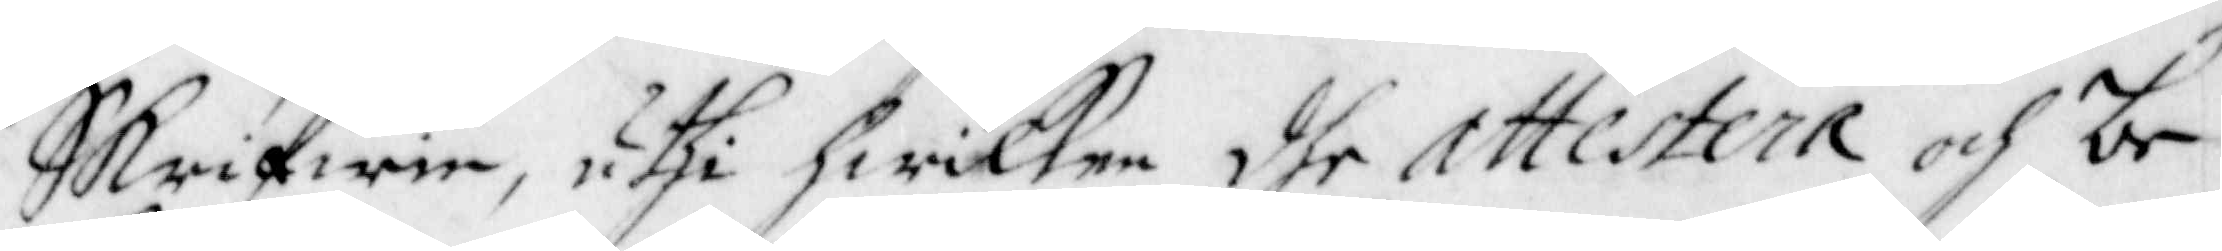Skrifwen, uthi hwilken dhe attestera och be¬
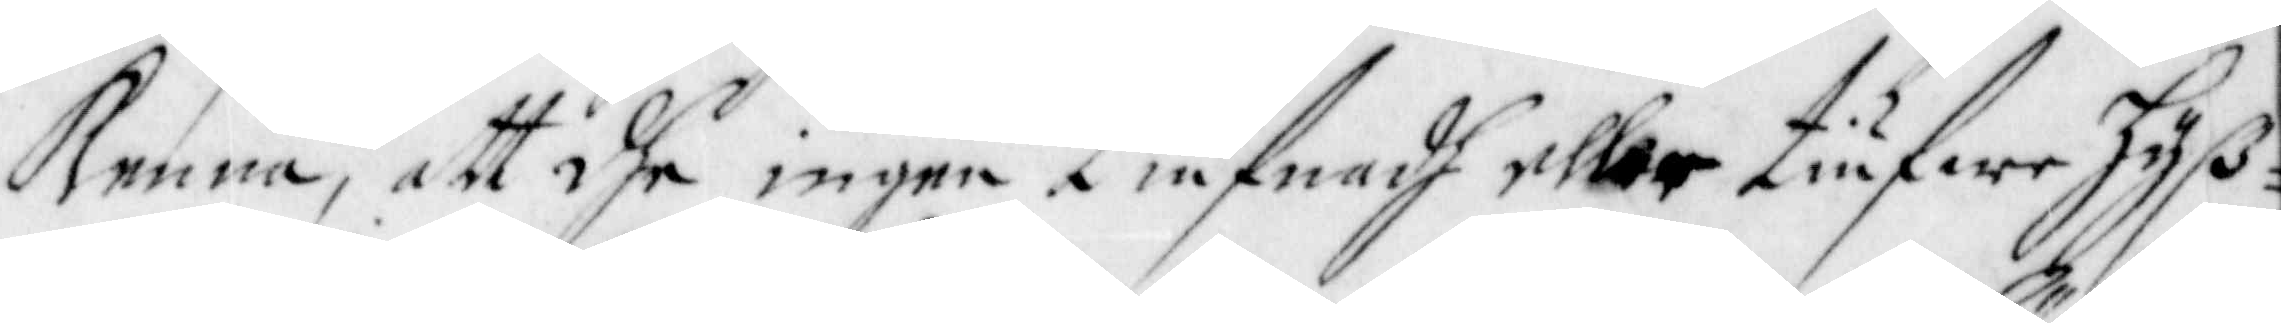kenna, att dhe ingen tiufnadh eller tiufwehyss¬
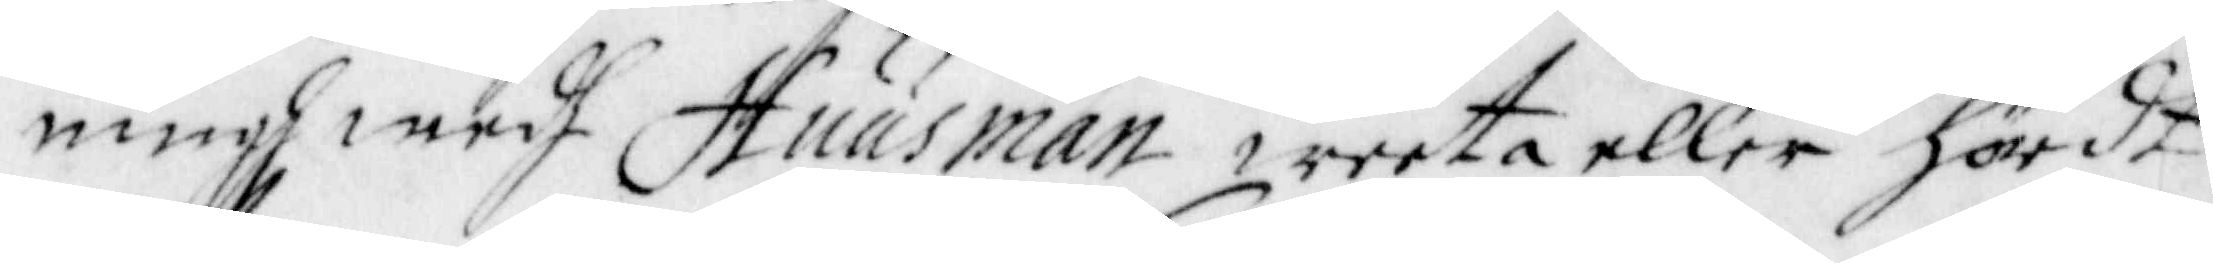ningh medh Huusman weeta eller hördt
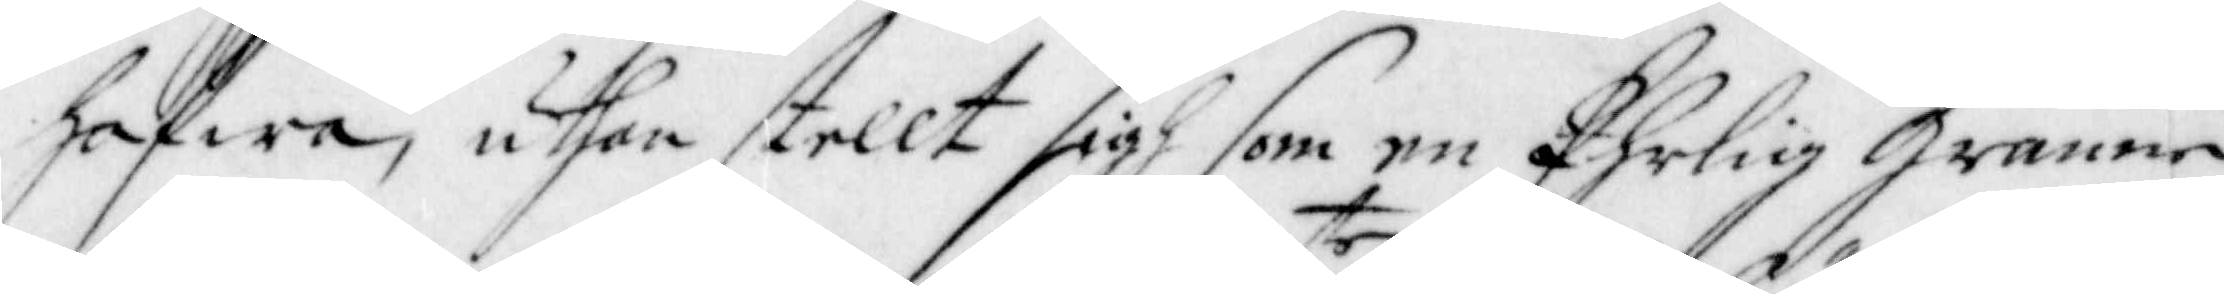hafwa, uthan stellt sigh som en Ehrlig Granne
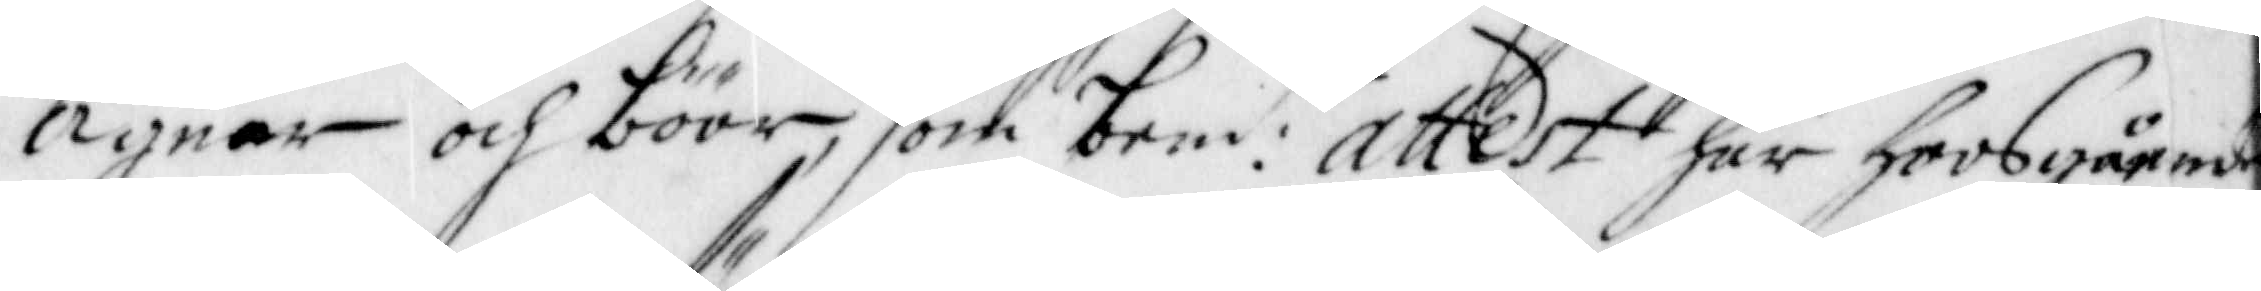Ägnar och böör, som bem:te attest här hoos gående
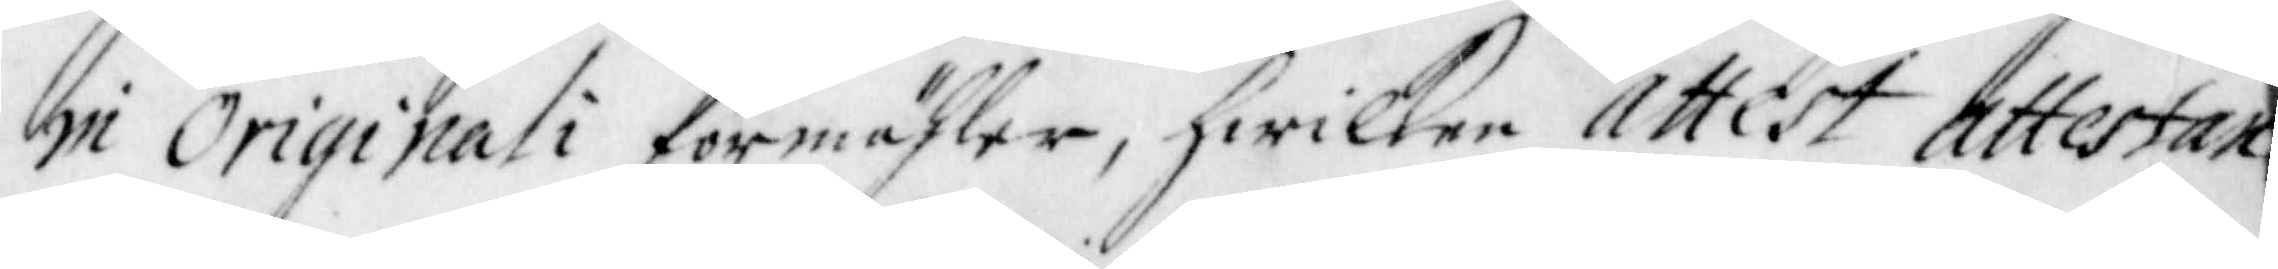in Originali förmähler, hwilken Attest attestan¬
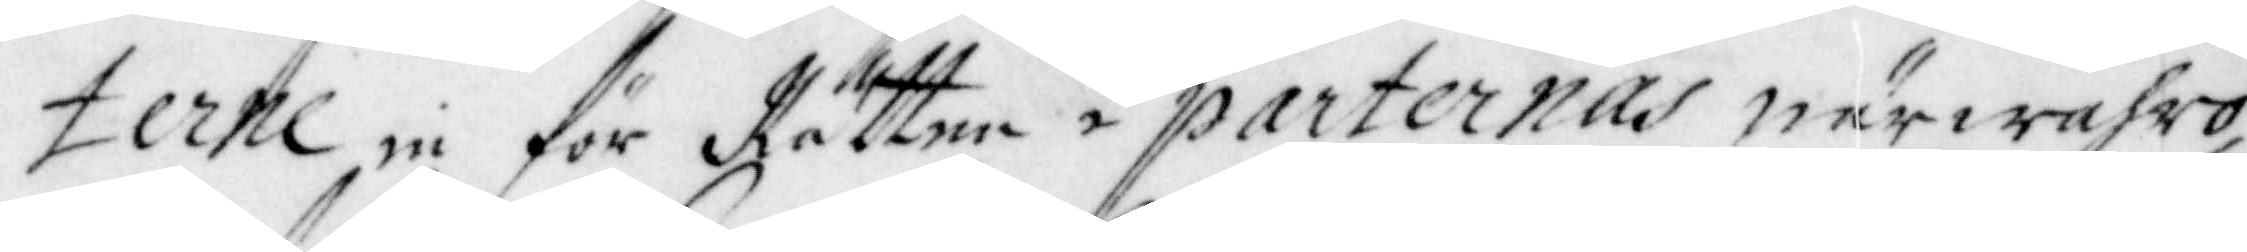terne in för Rätten i parternas Närwahro,
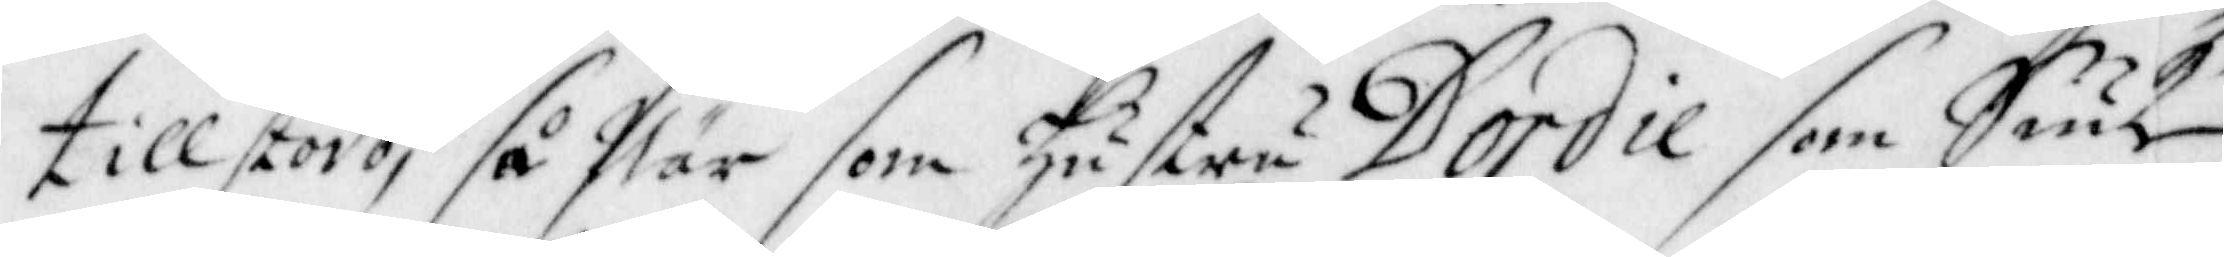tillstodo, så När som hustru Dordie som Siuk
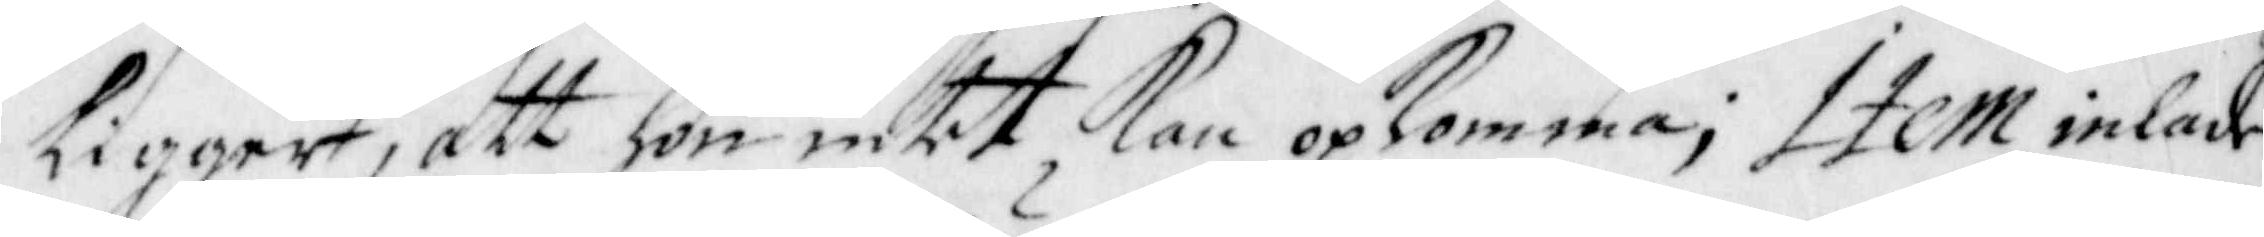ligger, att hon intet Kan opkomma; Item inlade
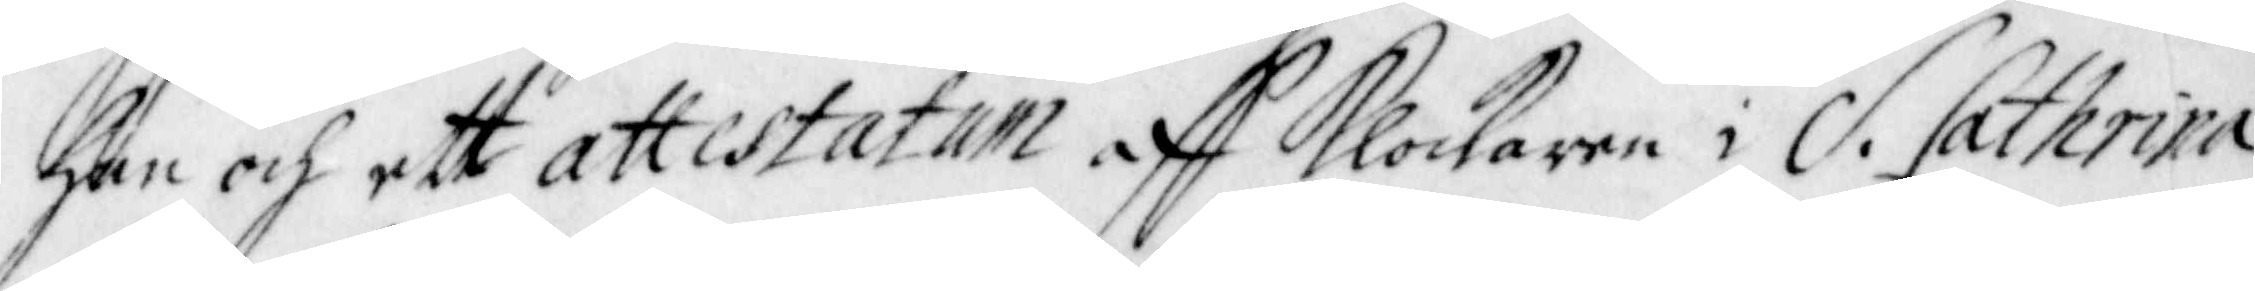han och ett attestatum aff Klockaren i S. Cathrina
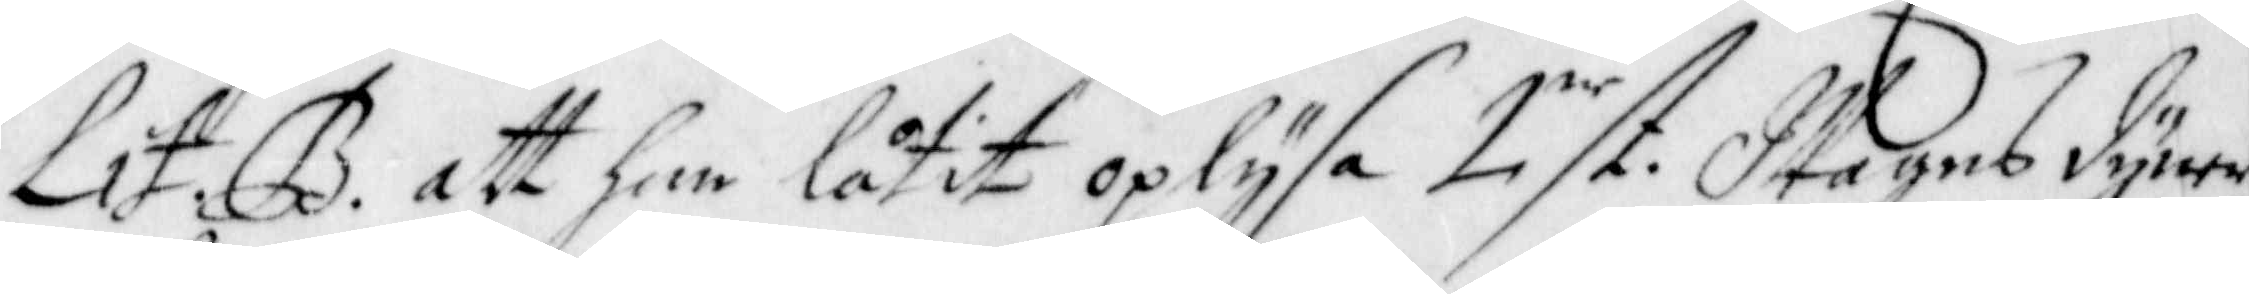Lit: B. att han låtit oplysa 2ne st. Wagns dyner,
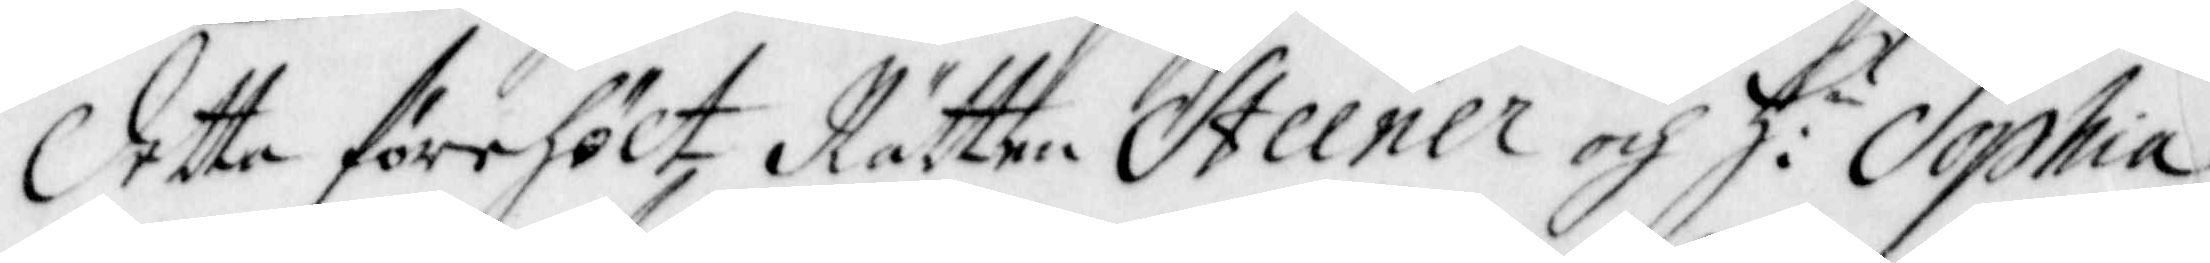Detta förehölt Rätten Steener och h:u Sophia,
